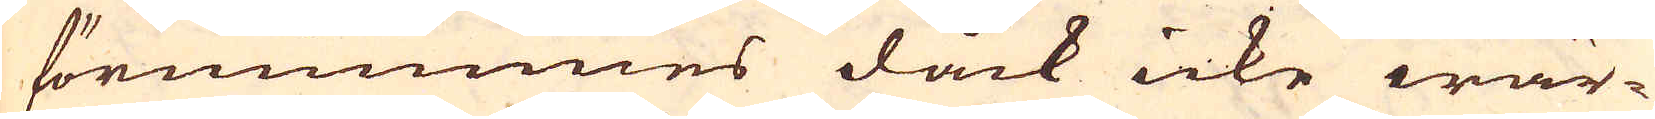förnummes dåck icke wär-
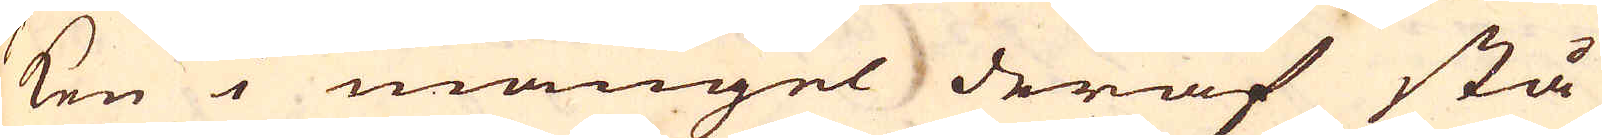ken i mangel deraf stå
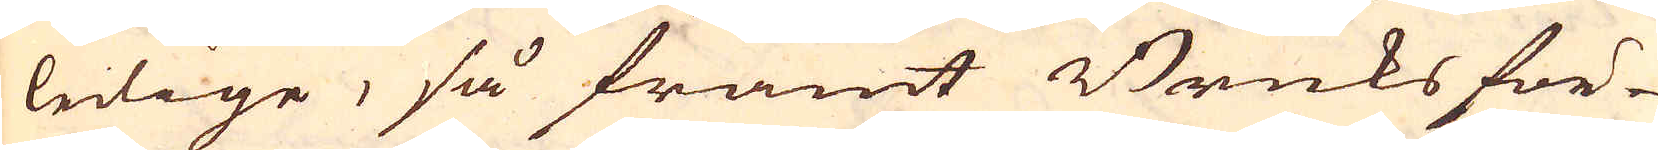ledige, så framt Bruksför-
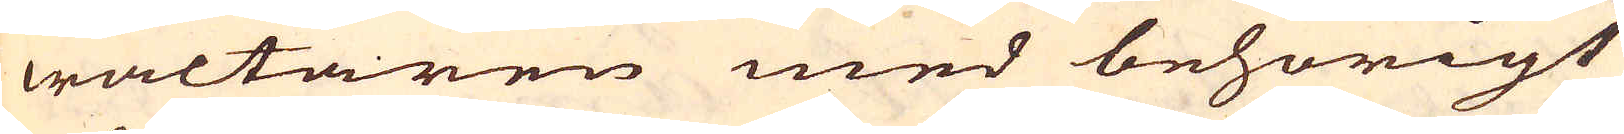waltaren med behörigt
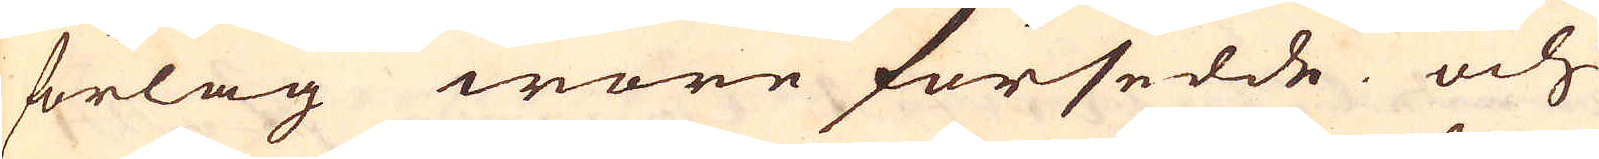förlag wore försedde och
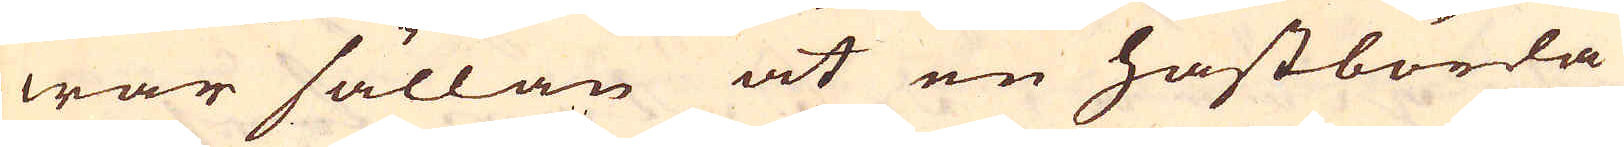war sällan at en hästbörda
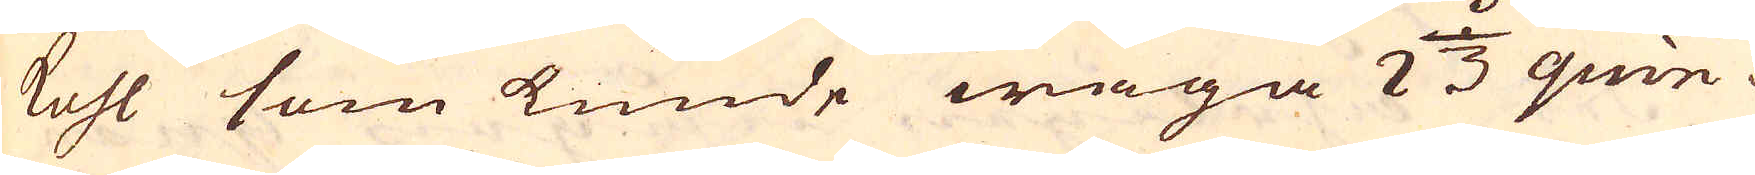kohl som kunde wäga 2 1/3 quin-
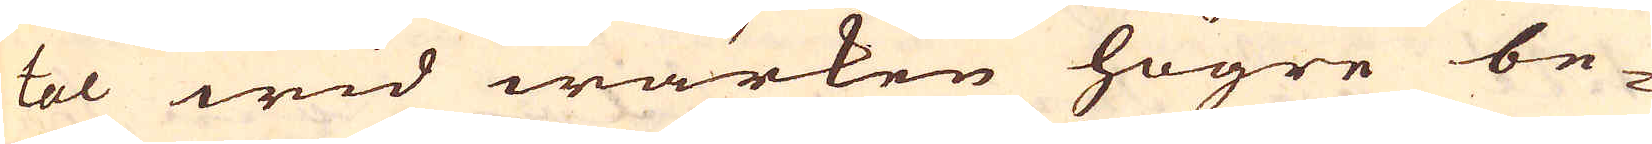tal wid wärken högre be-
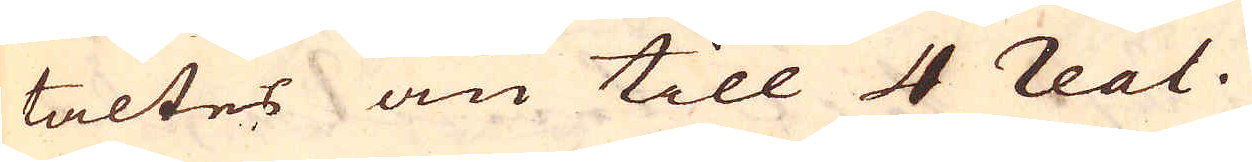taltes än till 4 real.
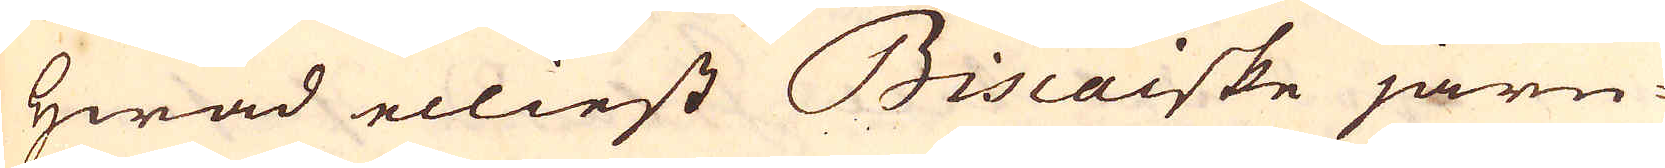Hwad elliest Biscaiske järn-
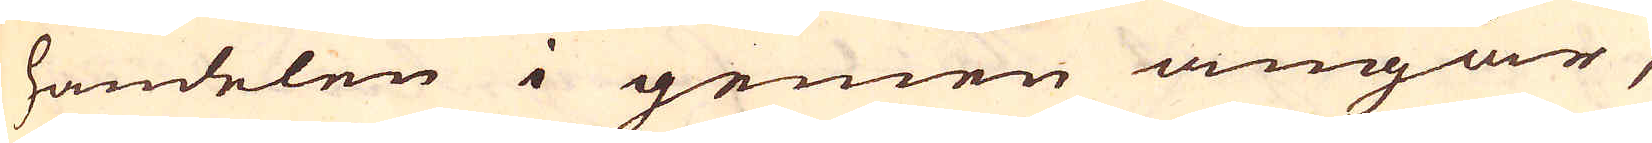handelen i gemen angår,
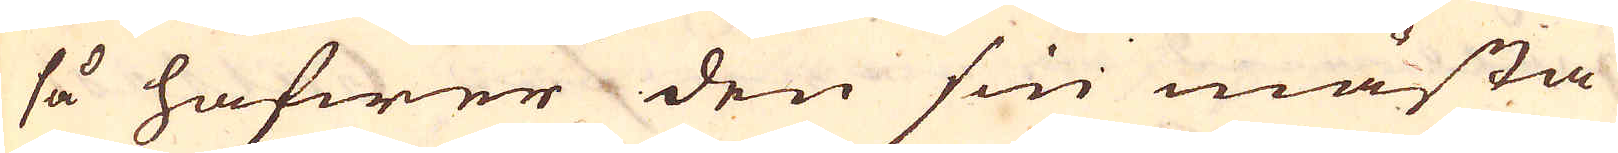så hafwer den sin mästa
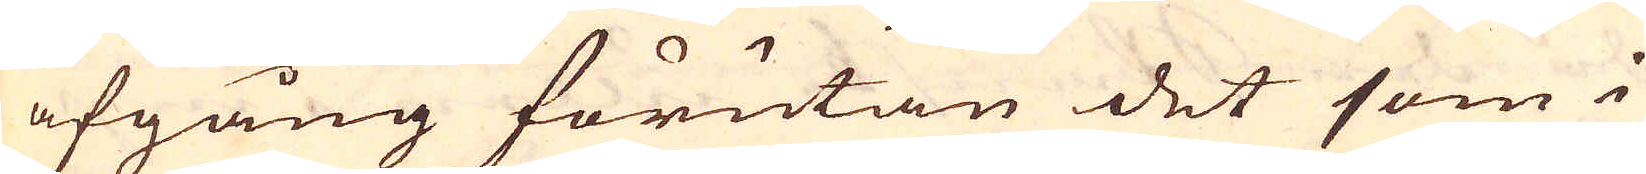afgång förutan det som i
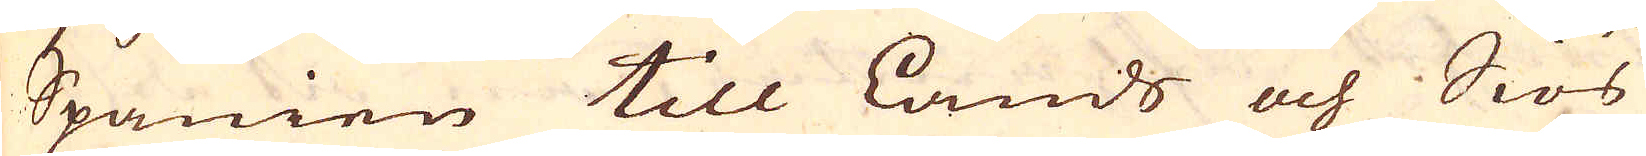Spanien till lands och Siös
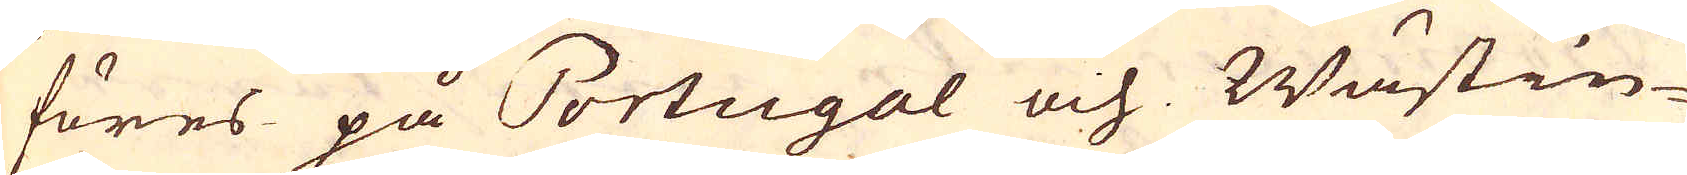föres på Portugal och Wästin-
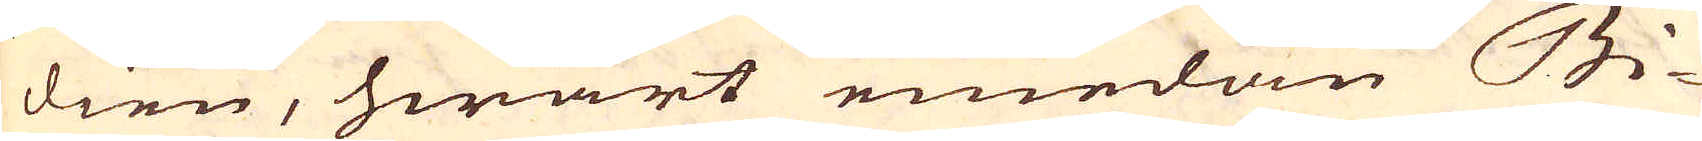dien, hwart emedan Bi-
